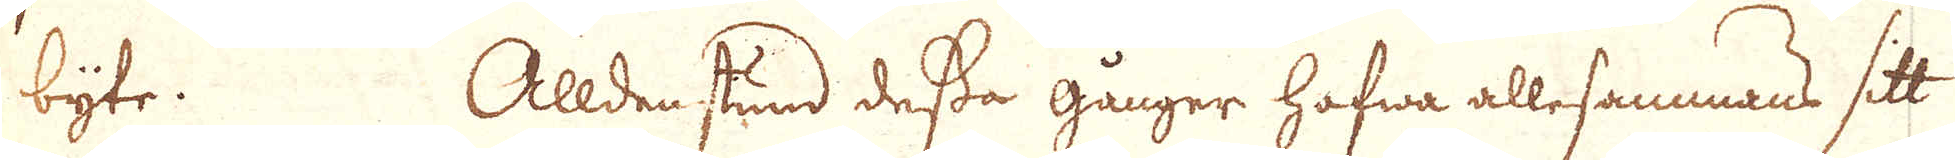byte. Alldenstund dessa gånger hafwa allesammans sitt
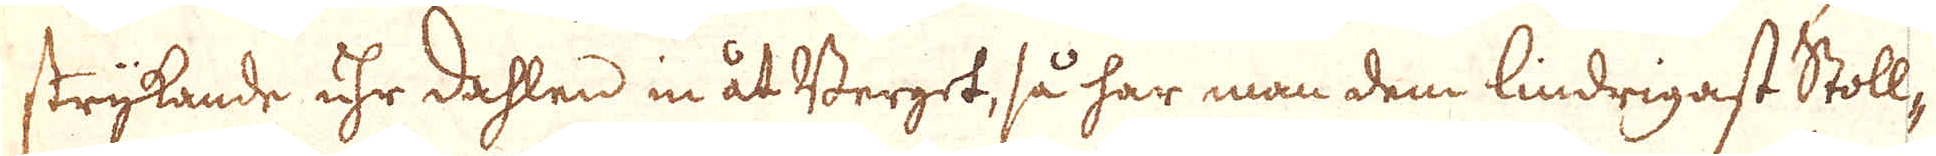strykande uhr dahlen in åt Berget, så har man dem lindrigast Stoll-
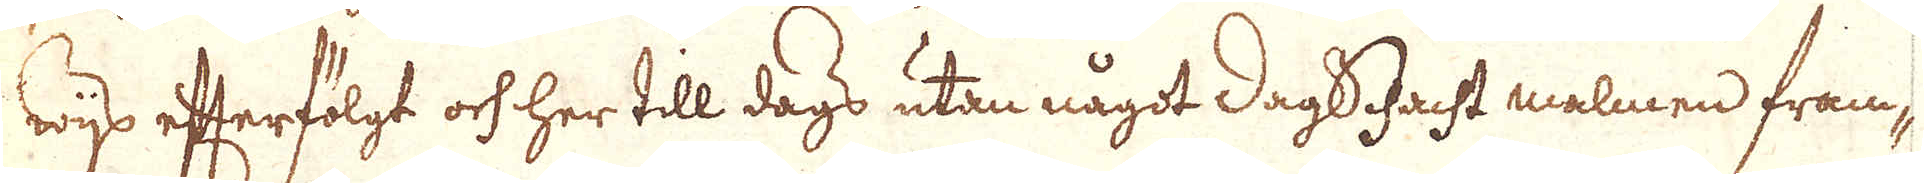wijs efterfölgt och her till dags utan något dagSchacht malmen fram-
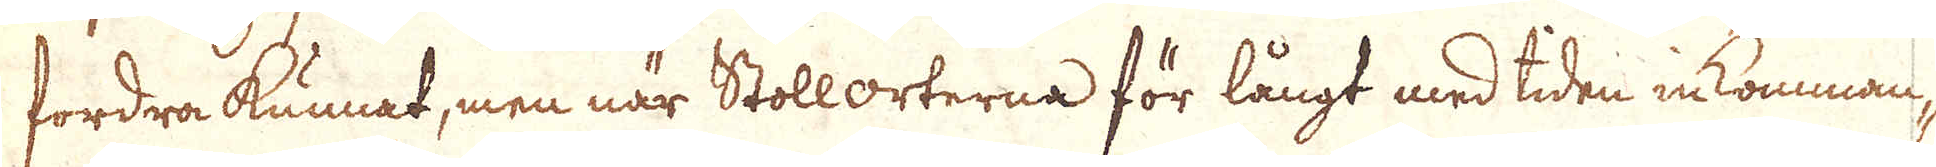fordra kunnat, men när Stoll orterna för långt med tiden inkomman-
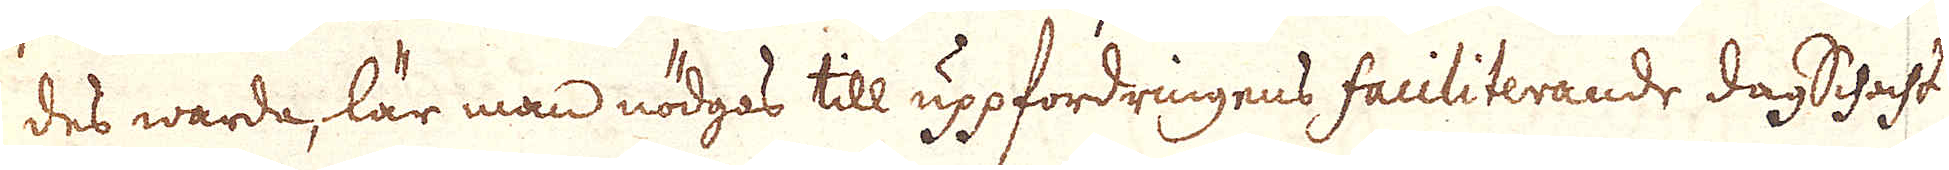des warda, lär man nödgas till uppfordringens faciliterande dagSchacht
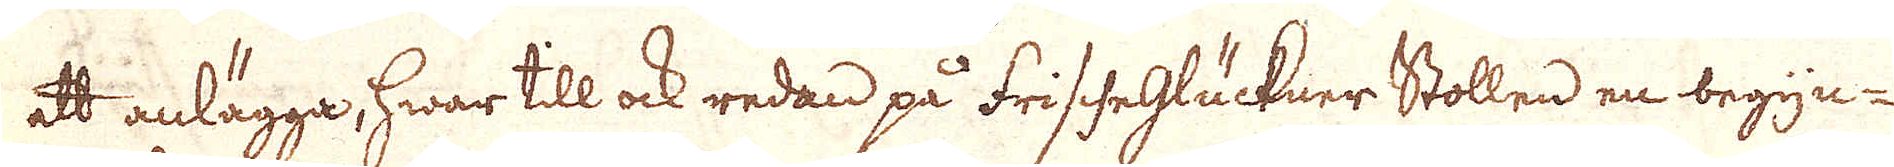att anlägga, hwar till ock redan på frisheglückner Stollen en begyn-
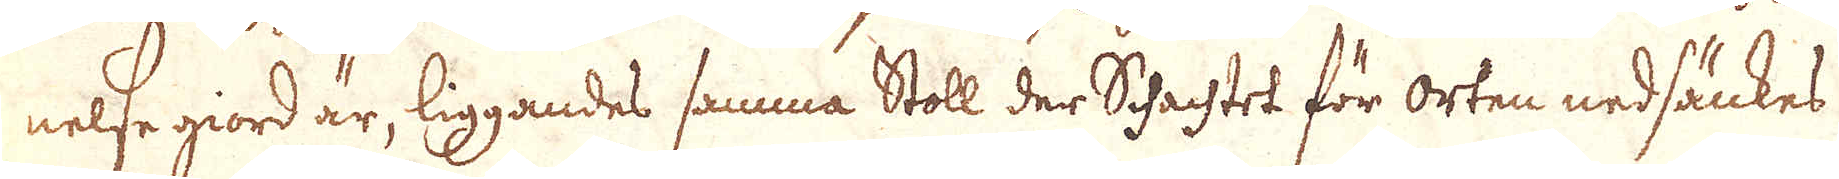nelse giord är, liggandes samma Stoll der Schachtet för orten nedsänkes
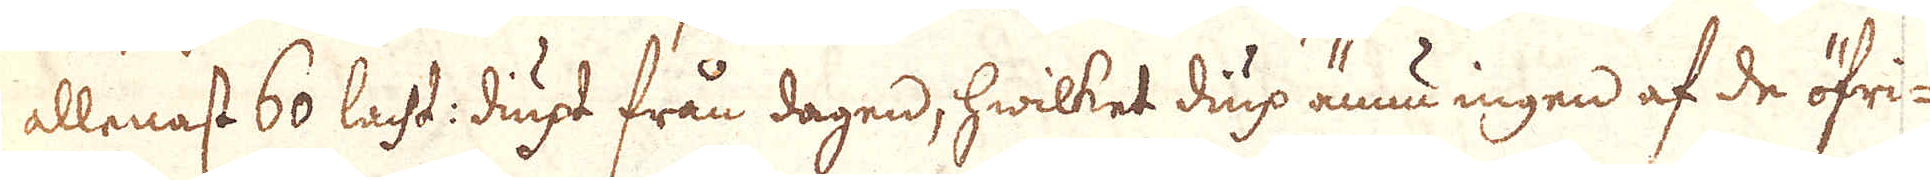allenast 60 lacht: diupt från dagen, hwilket diup ännu ingen af de öfri-
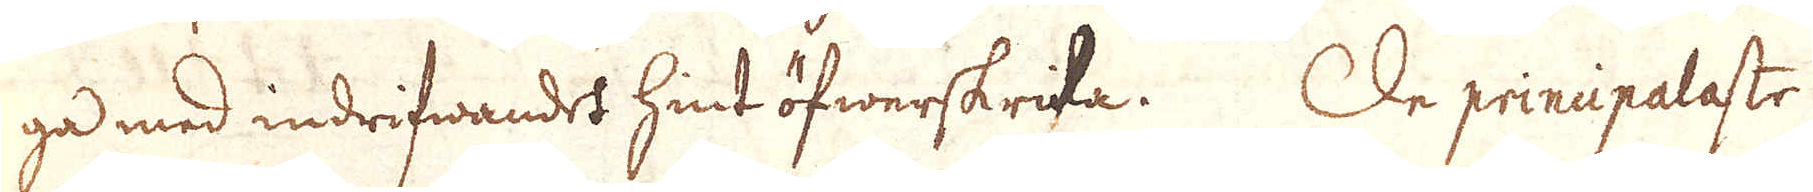ga med indrifwandet hint öfwerskrita. De prinipalaste
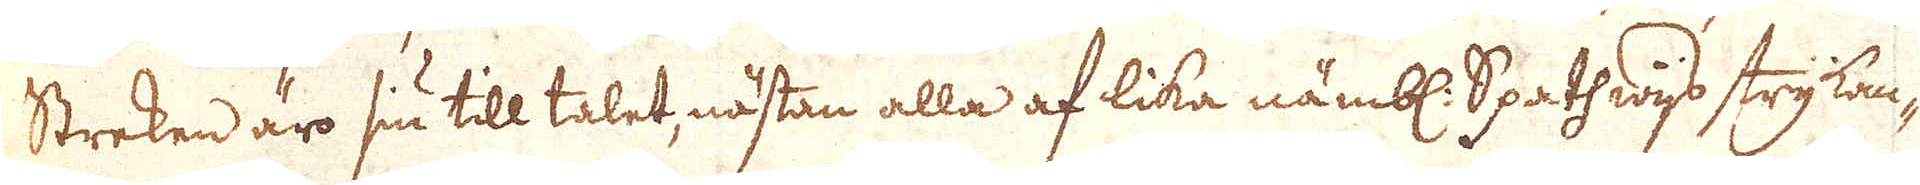Streken äro siu till talet, nästan alla af lika nämbl. Spathwijs strykan-
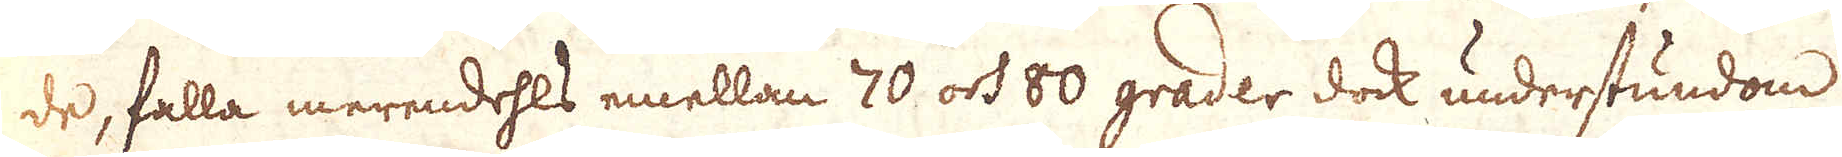de, falla merendehls emellan 70 och 80 grader dock understundom
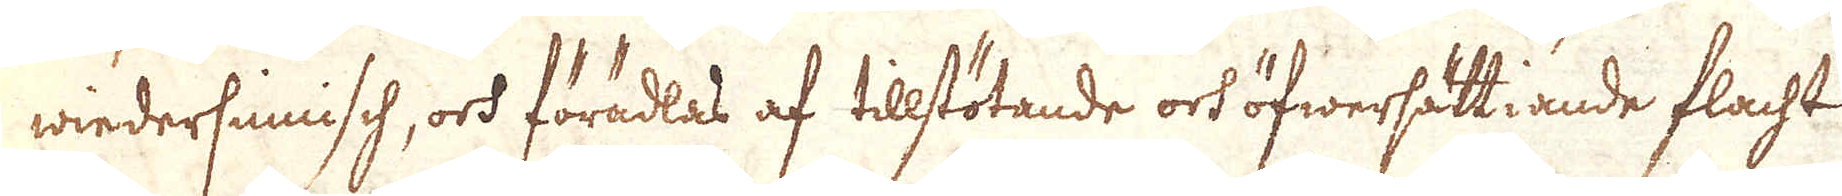wiedersinnisch, och förädlas af tillstötande och öfwersättiande flacht
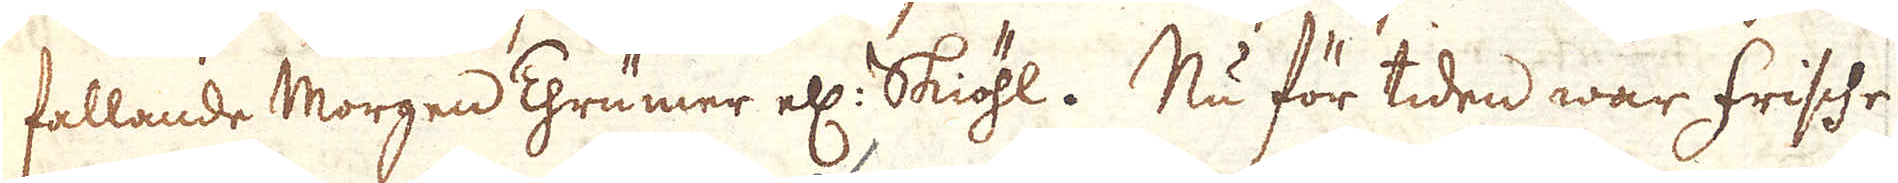fallande Morgen Thrümer ell: Skiöhl. Nu för tiden war frische
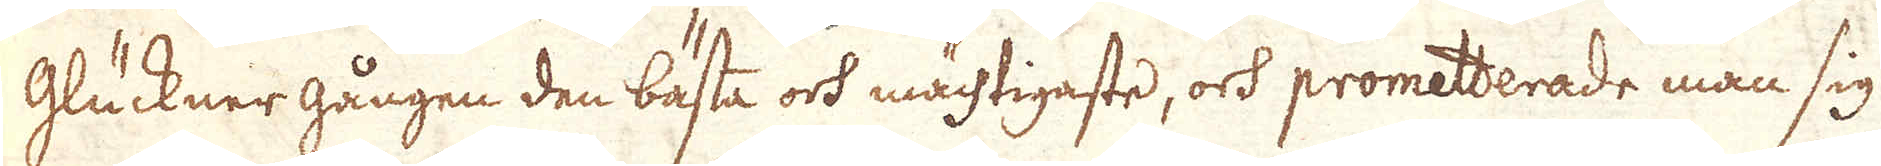Glückner gången den bästa och mächtigaste, och prometterade man sig
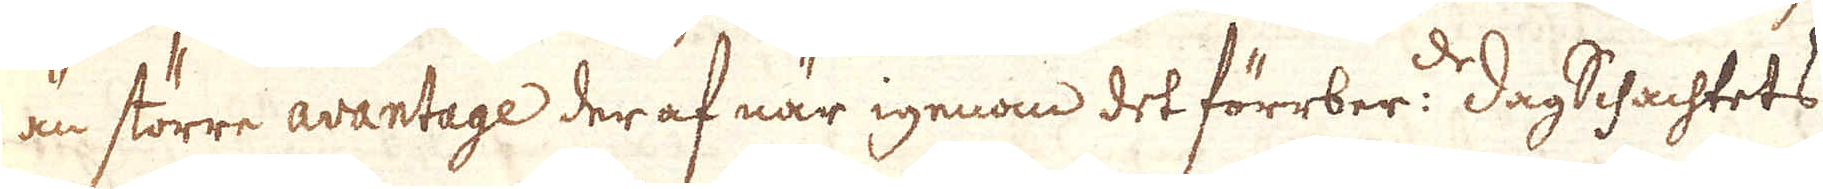än större avantage der af när igenom det förrber:de dagSchachtets
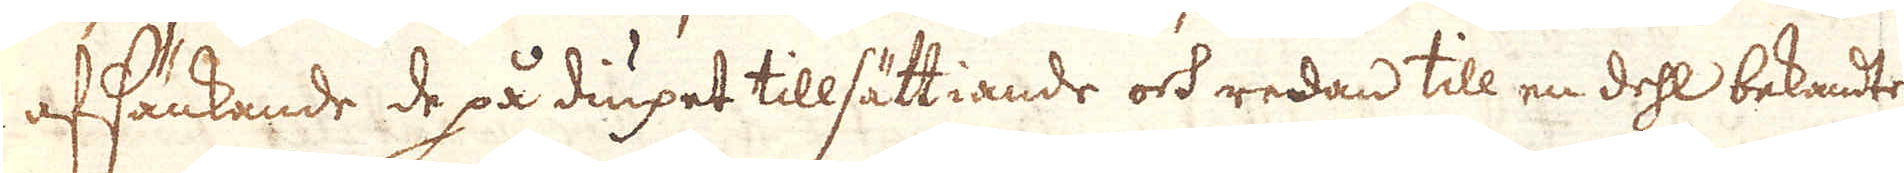afsänkande de på diupet tillsättiande och redan till en dehl bekandte
